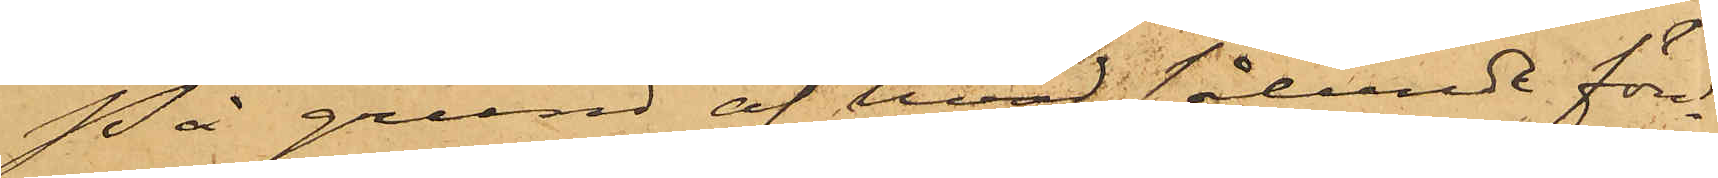På grund af hvad sålunda före¬
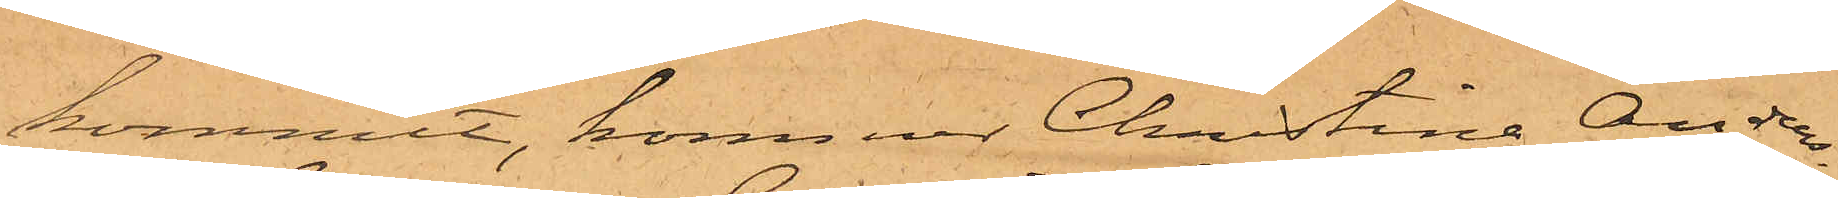kommit, kommer Christina Anders¬
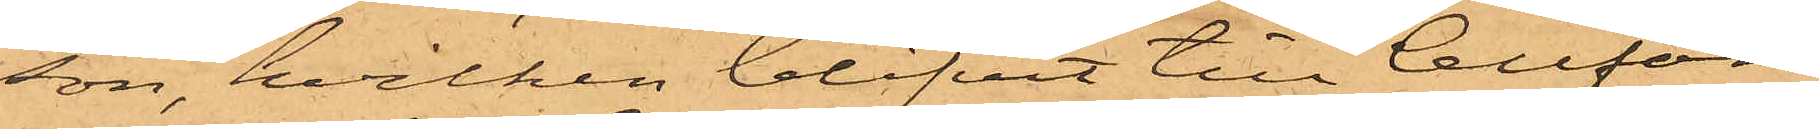son, hvilken blifvit till Cellfän¬
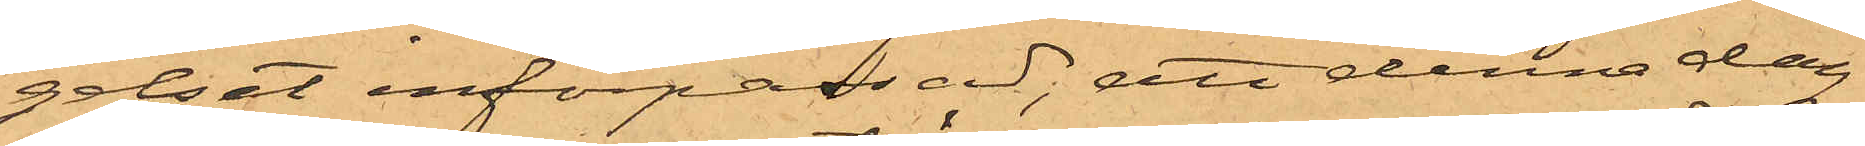gelset införpassad; att denna dag
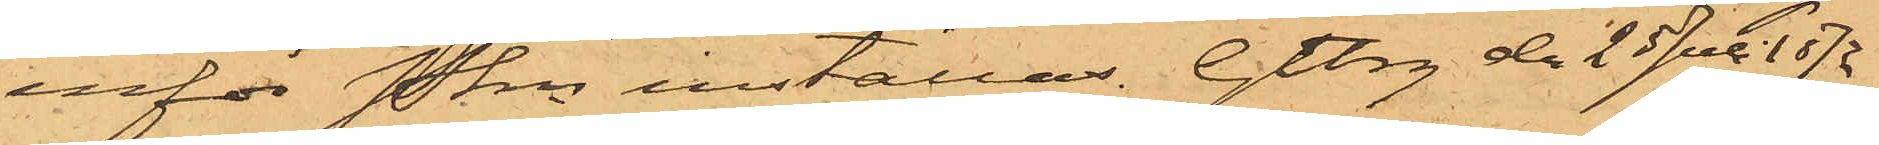inför Pkn inställas. Gtbrg den 25 Juli 1872.
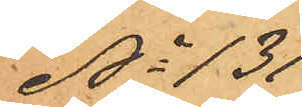No 131
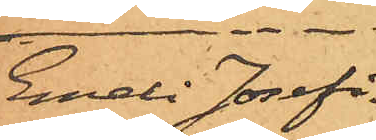Emeli Josefi¬
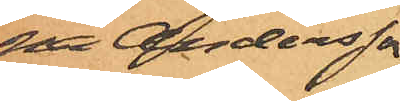na Andersson
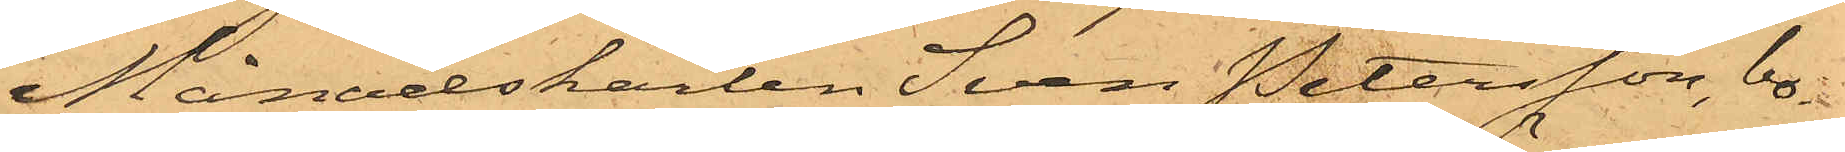Månadskarlen Sven Petersson, bo¬
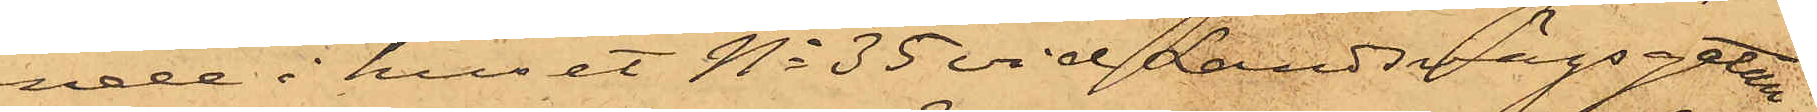ende i huset No 35 vid Landsvägsgatan,
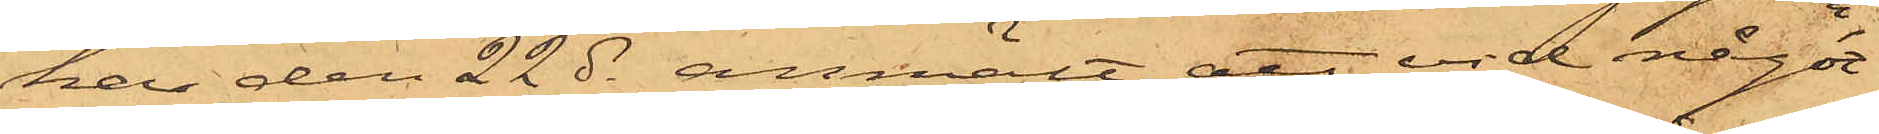har den 22 ds anmält att vid något
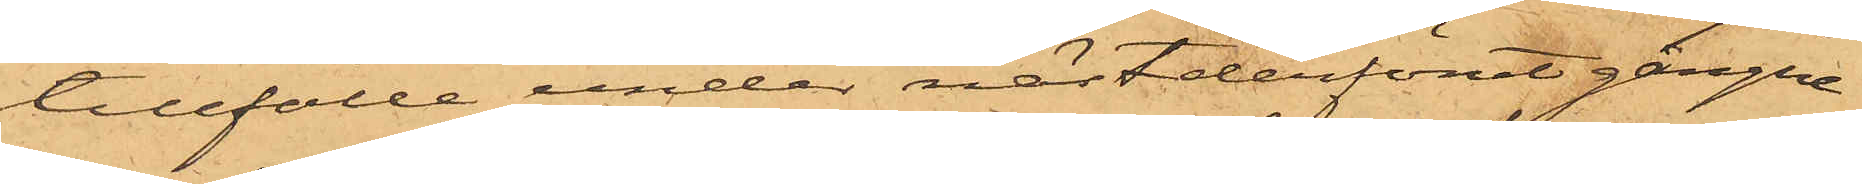tillfälle under nästderförutgångne
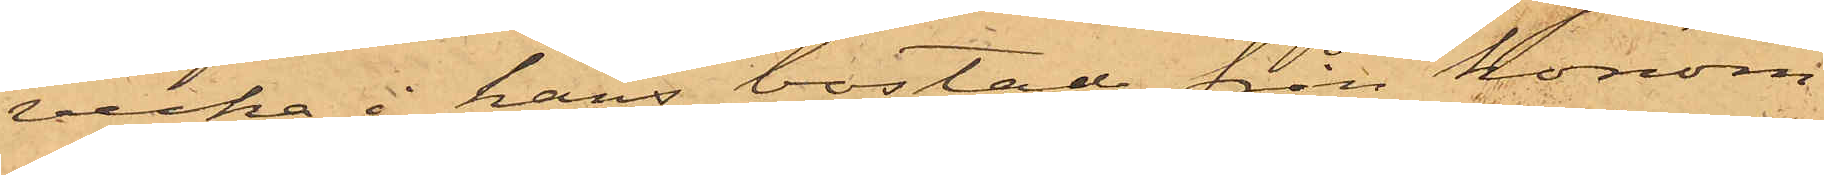vecka i hans bostad från honom
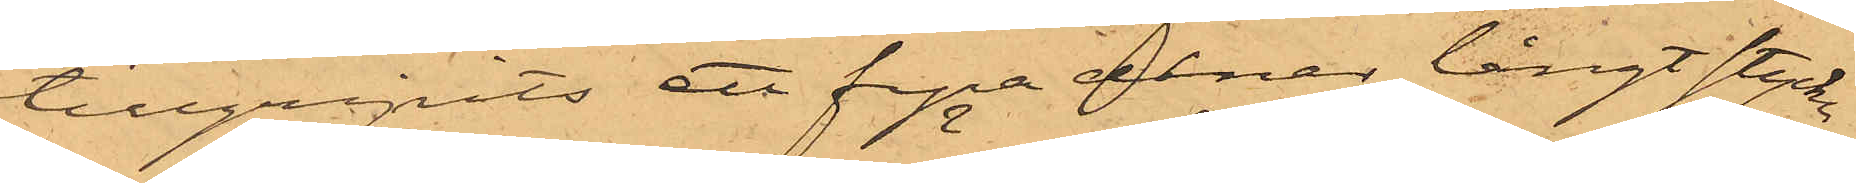tillgripits ett fyra alnar långt stycke
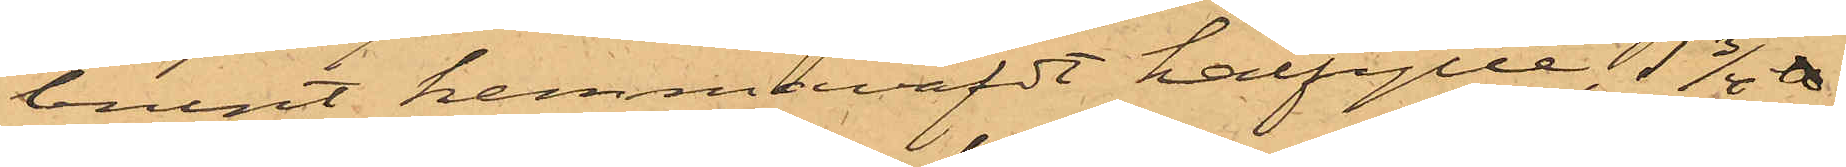brunt hemmaväfdt halfylle, 1 3/4 ℔
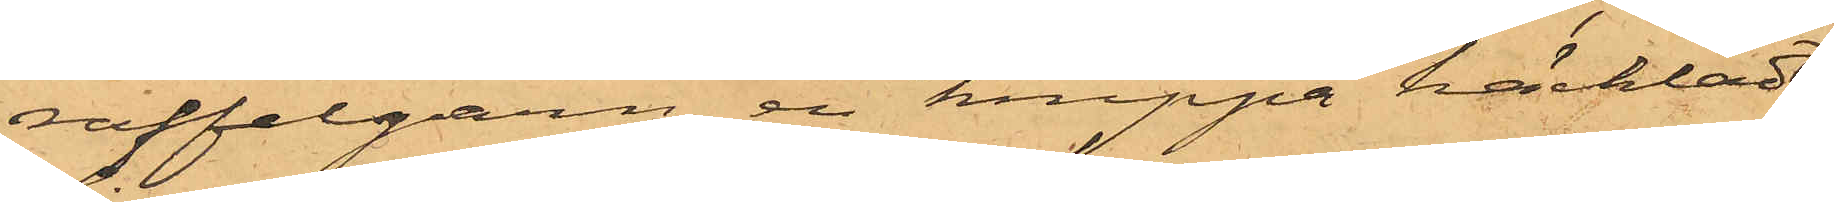raffelgarn, en knippa häckladt
